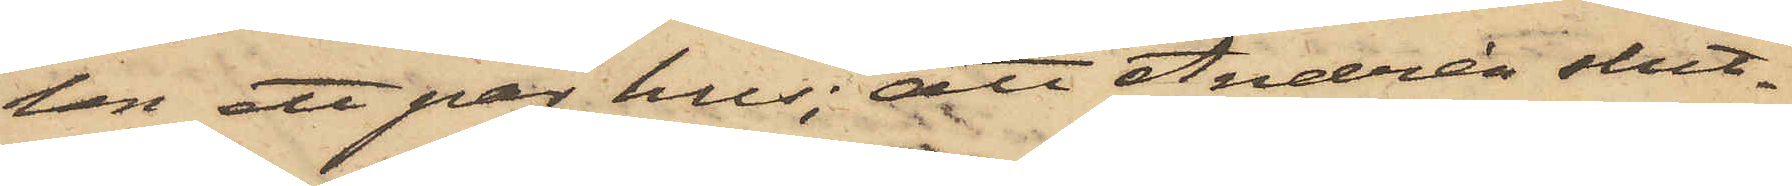ten ett par hus; att Andrén slut¬
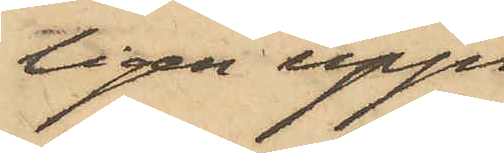ligen upp¬
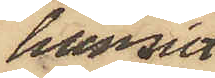hunnit
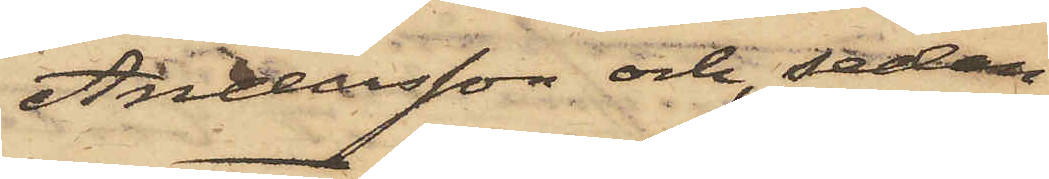Andersson och, sedan
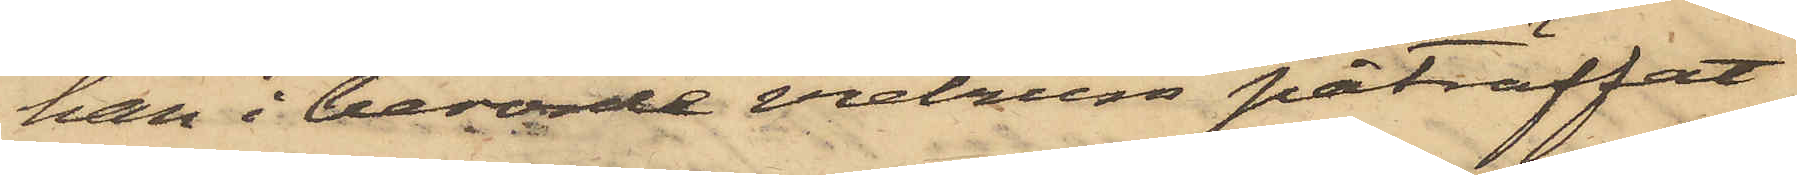han i berörde vretrum påträffat
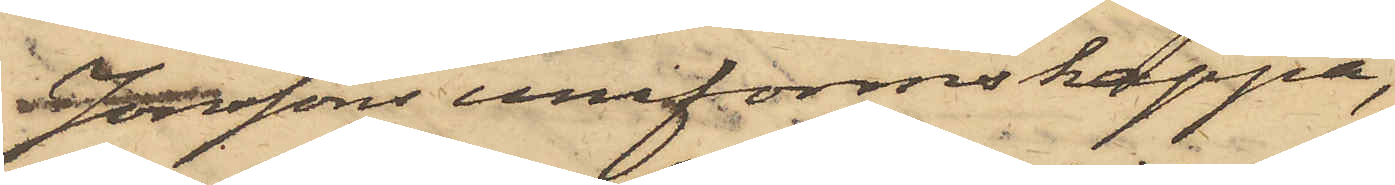Jonssons uniformskappa,
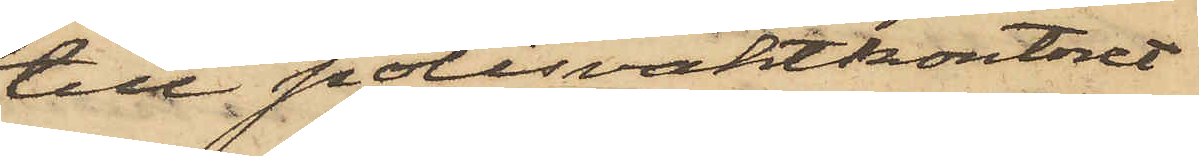till polisvaktkontoret
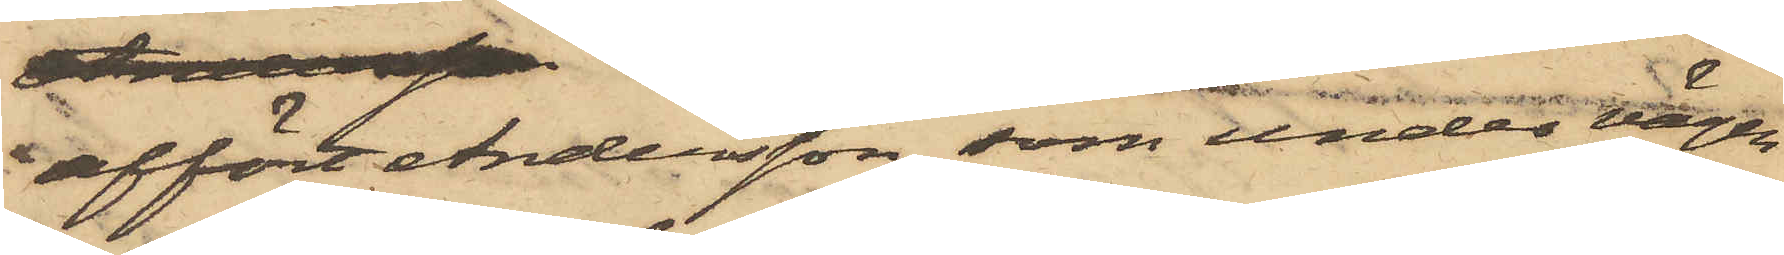affört Andersson, som under vägen
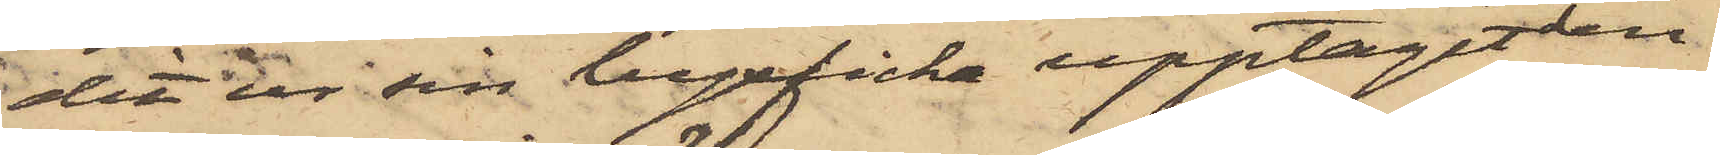dit ur sin byxficka upptagit den
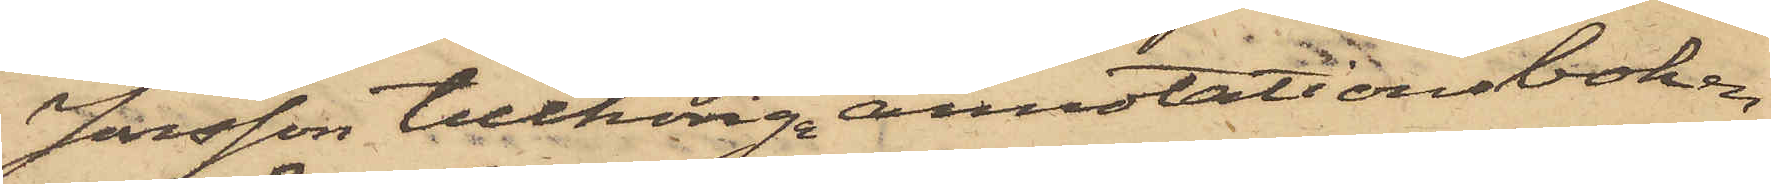Jonsson tillhöriga annotationsboken
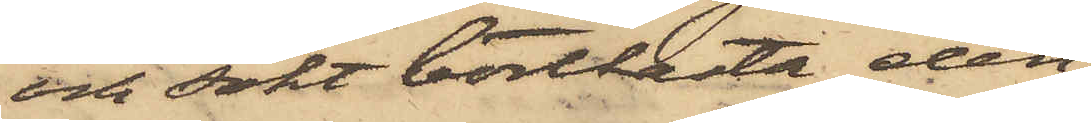och sökt bortkasta den¬
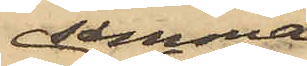samma,
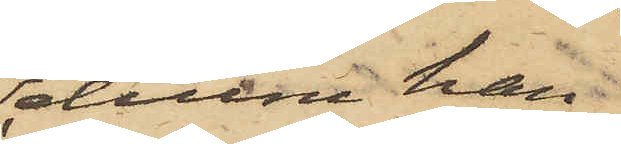ehuru han
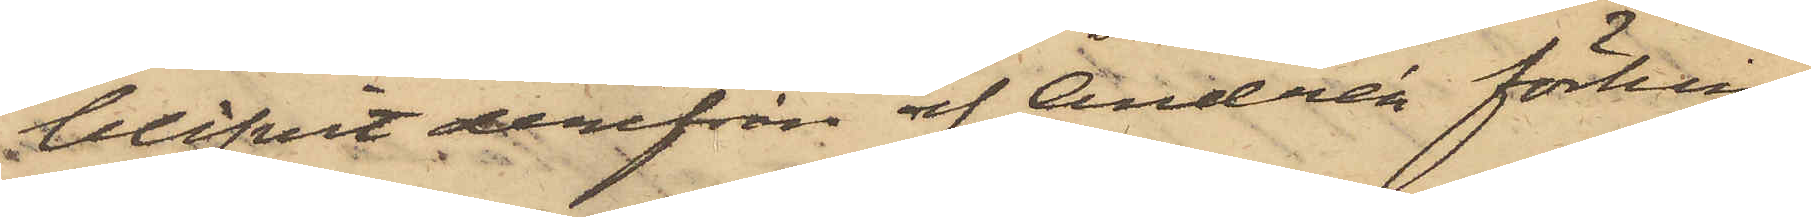blifvit derifrån af Andrén förhin¬
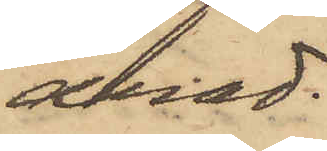drad.
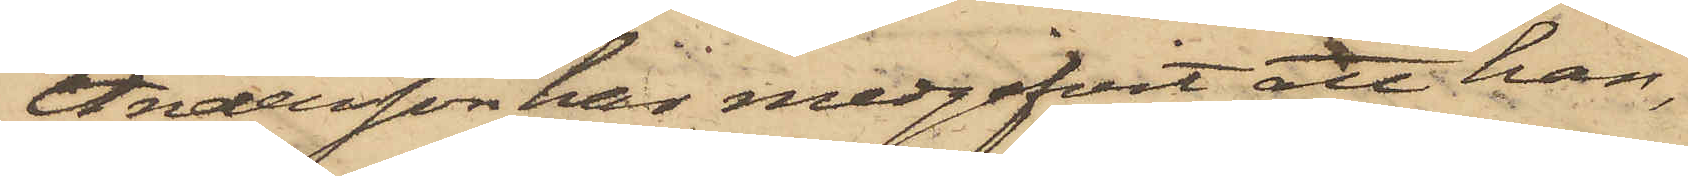Andersson har medgifvit att han,
